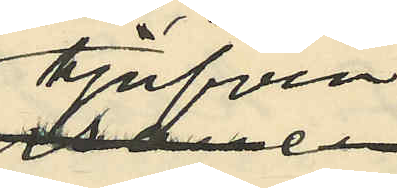tjufven
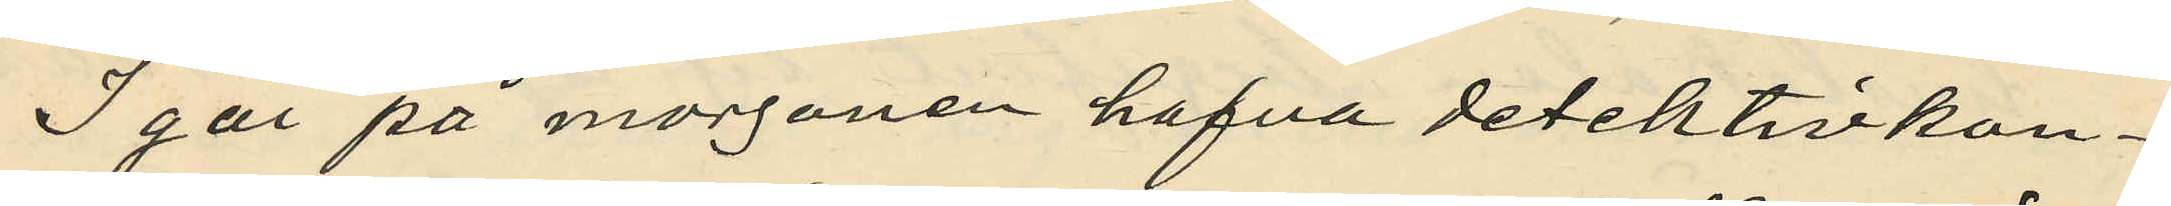I går på morgonen hafva detektivkon¬
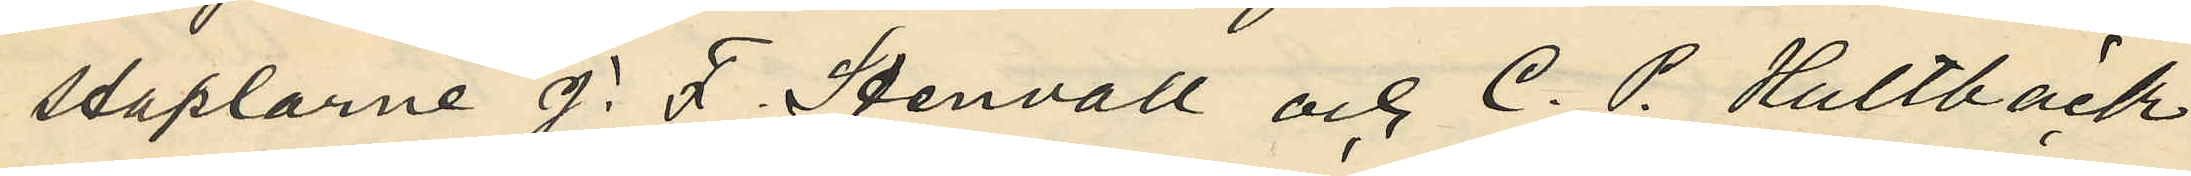staplarne J. F. Stenvall och C. P. Hultbäck
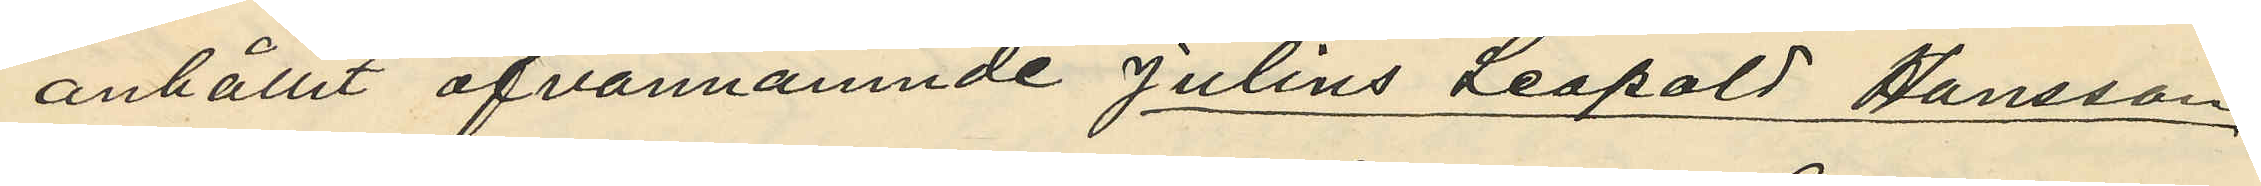anhållit ofvannämnde Julius Leopold Hansson,
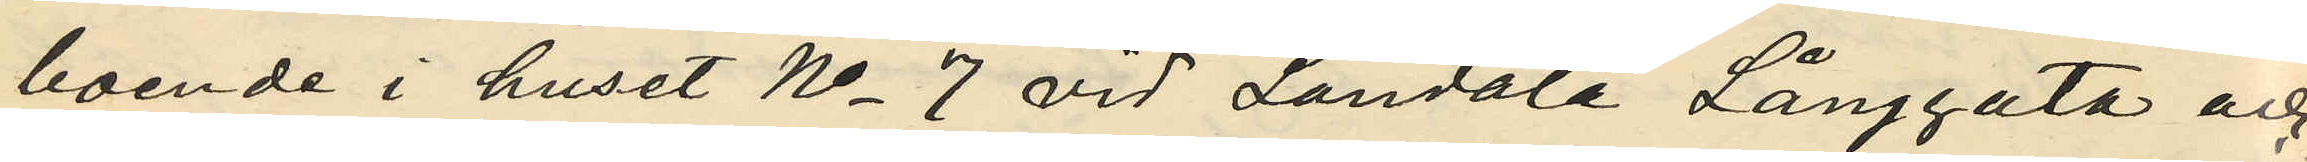boende i huset No 7 vid Landala Långgata och
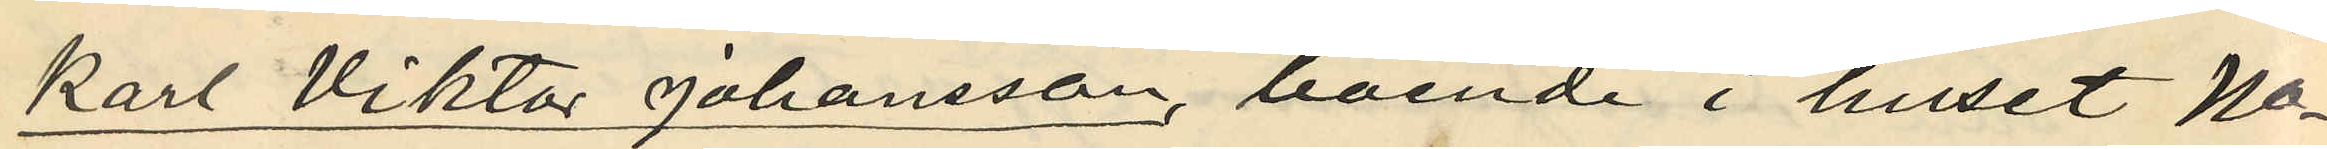Karl Viktor Johansson, boende i huset No
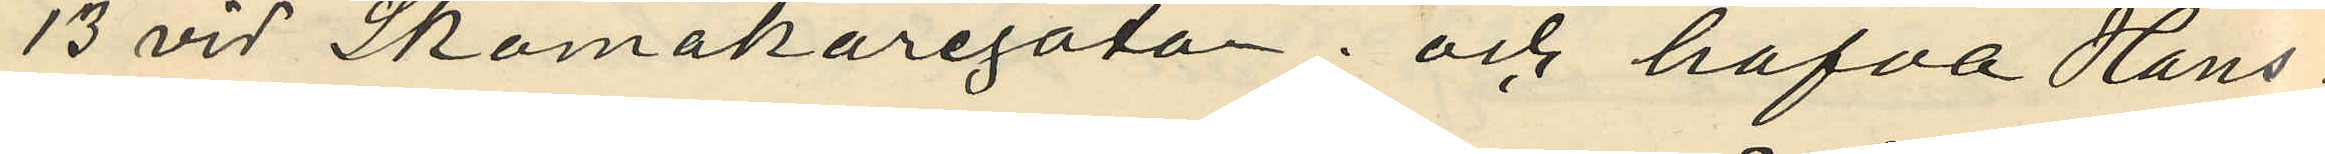13 vid Skomakaregatan; och hafva Hans¬
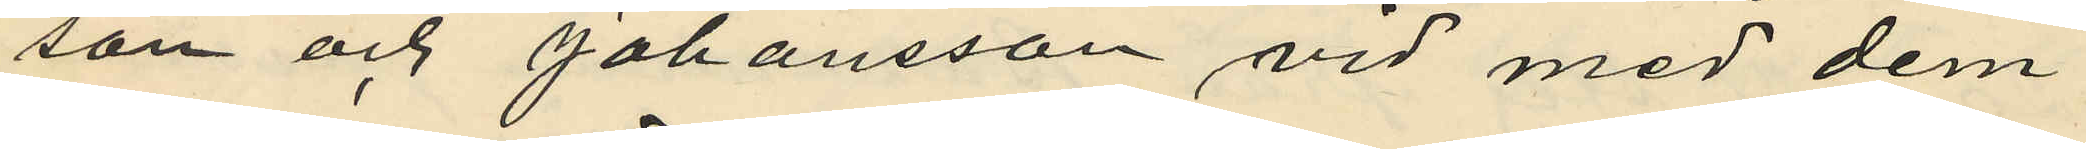son och Johansson vid med dem
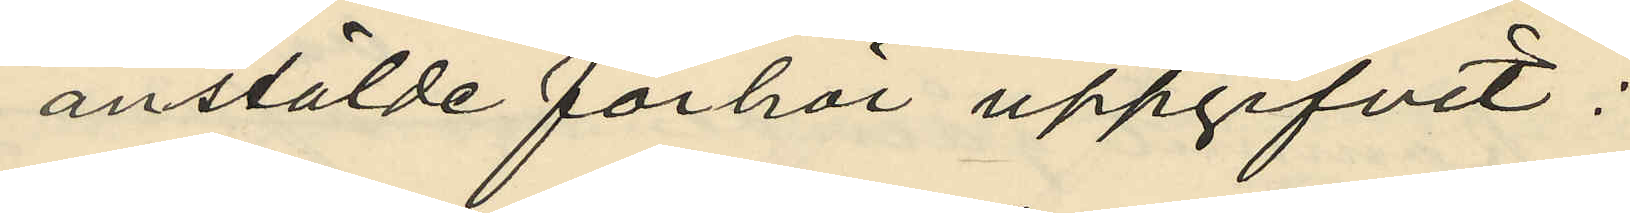anstälde förhör uppgifvit:
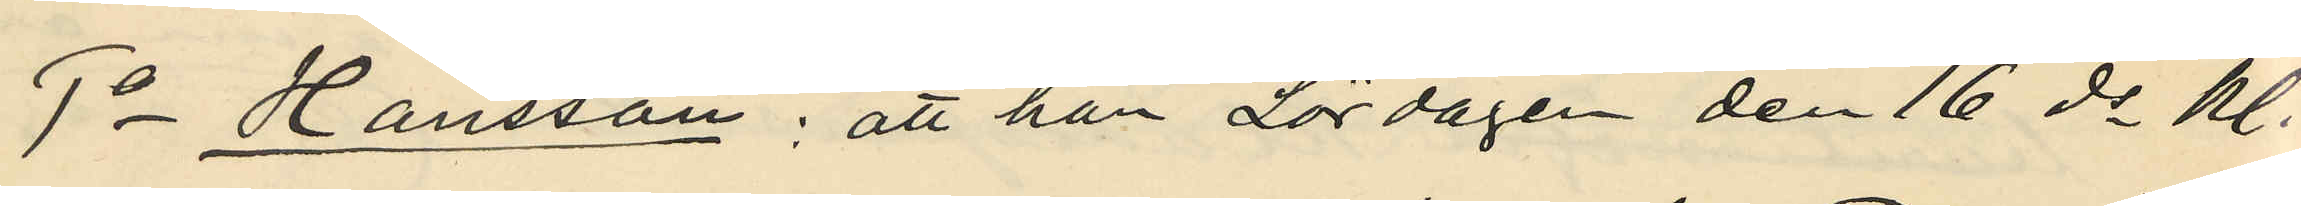1o Hansson: att han Lördagen den 16 ds kl.
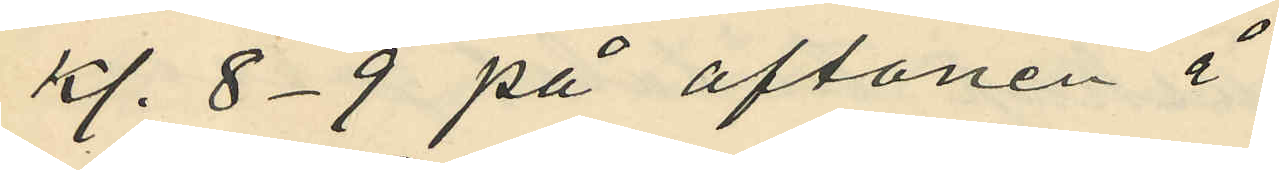kl. 8-9 på aftonen å
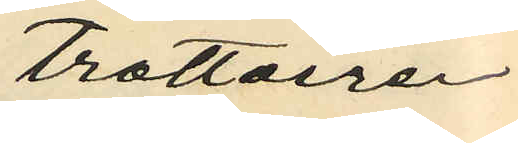trottoiren
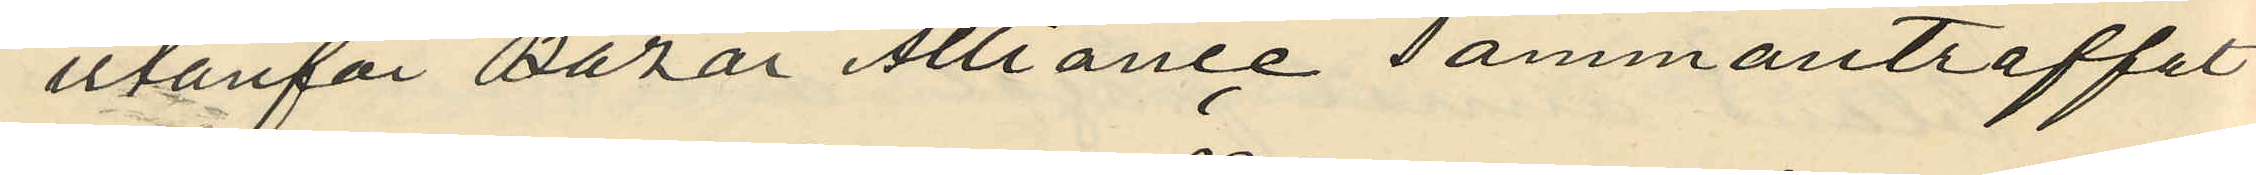utanför Bazar Alliance sammanträffat
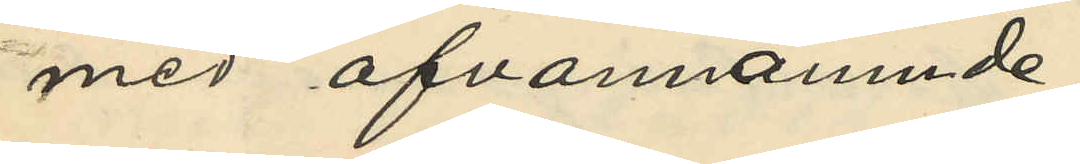med ofvannämnde
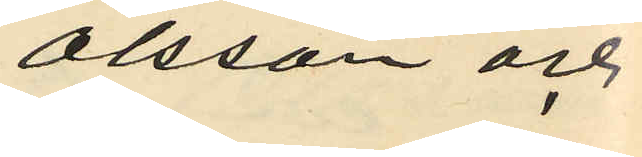Olsson och
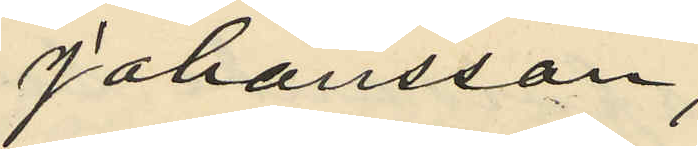Johansson,
